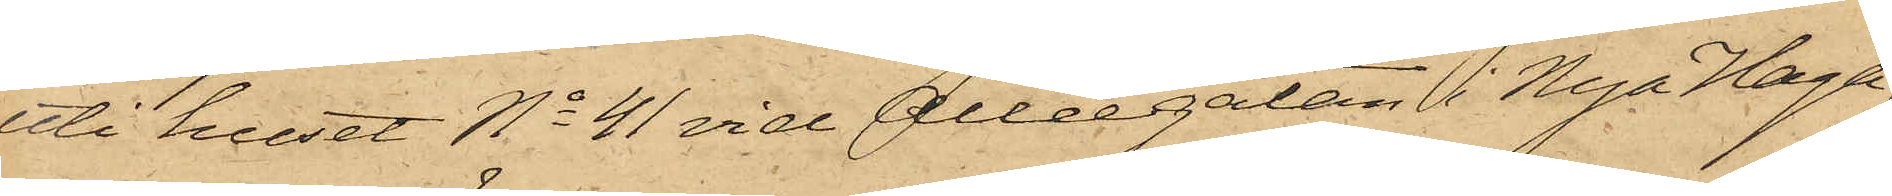uti huset No 41 vid Alléegatan i Nya Haga,
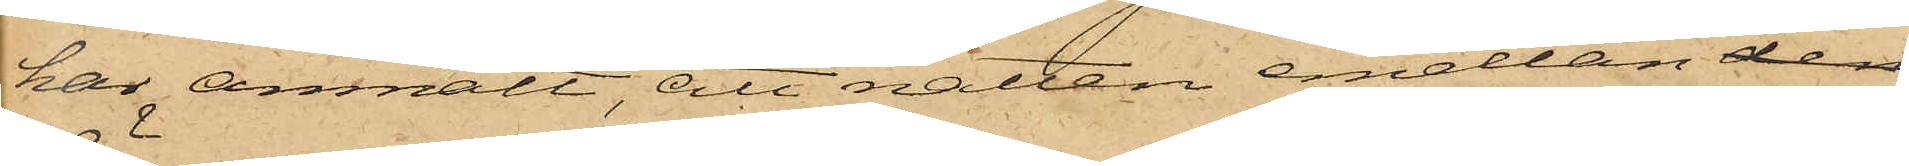har anmält, att natten emellan den
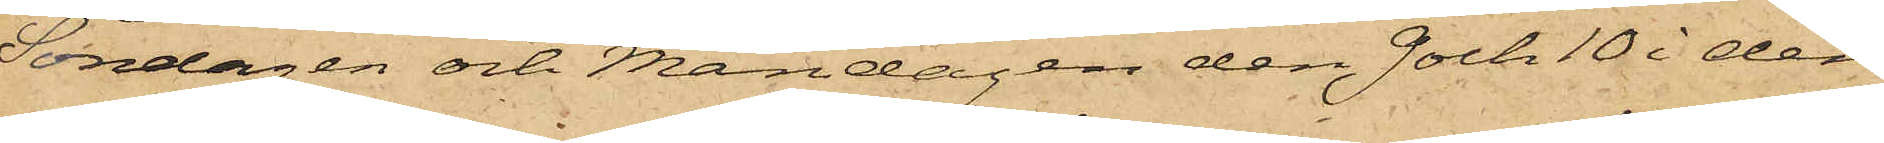Söndagen och Måndagen den 9 och 10 i den
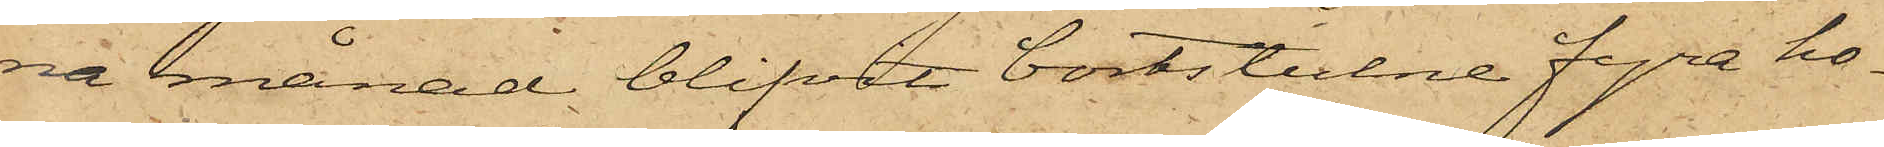na månad blifvit bortstulne fyra ho¬
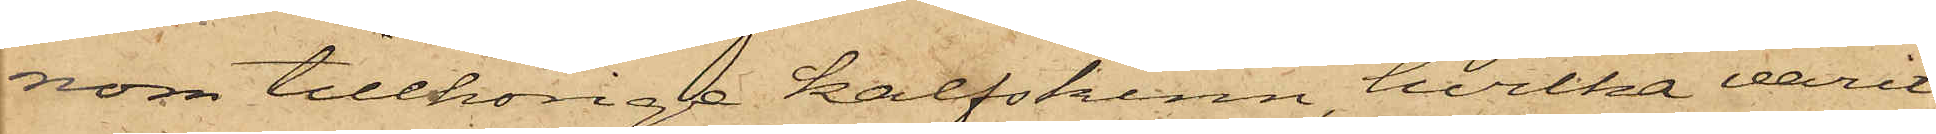nom tillhörige kalfskinn, hvilka varit
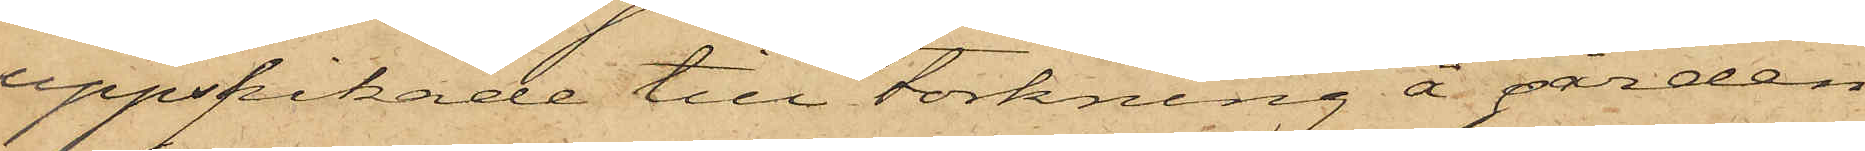uppspikade till torkning å gården
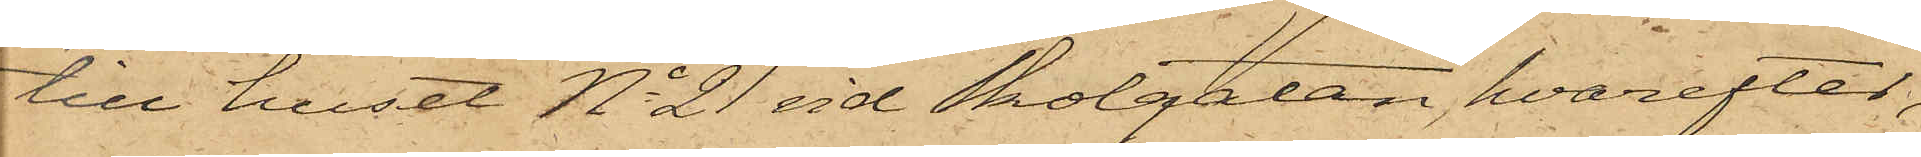till huset No 21 vid Skolgatan, hvarefter,
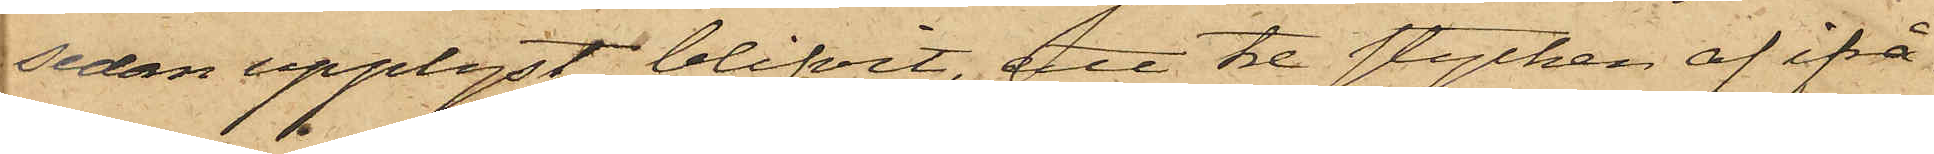sedan upplyst blifvit, att tre stycken af ifrå¬
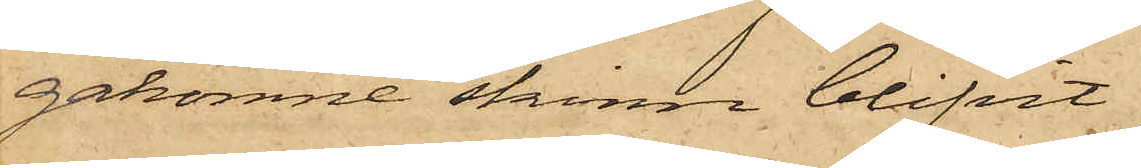gakomne skinn blifvit
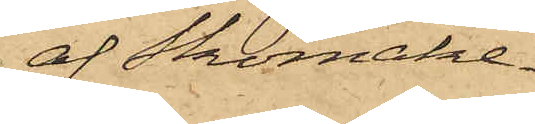af Skomake¬
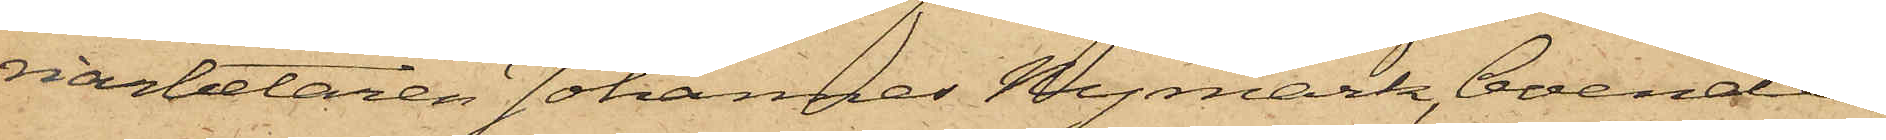riarbetaren Johannes Nymark, boende
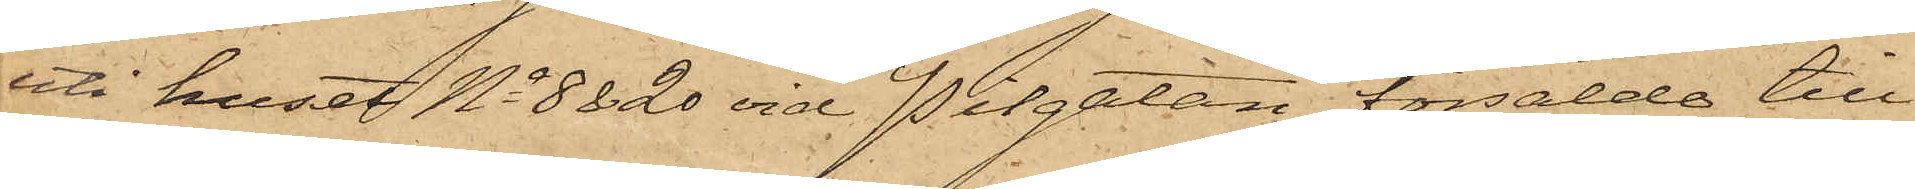uti huset No 8 & 20 vid Pilgatan, försålde till
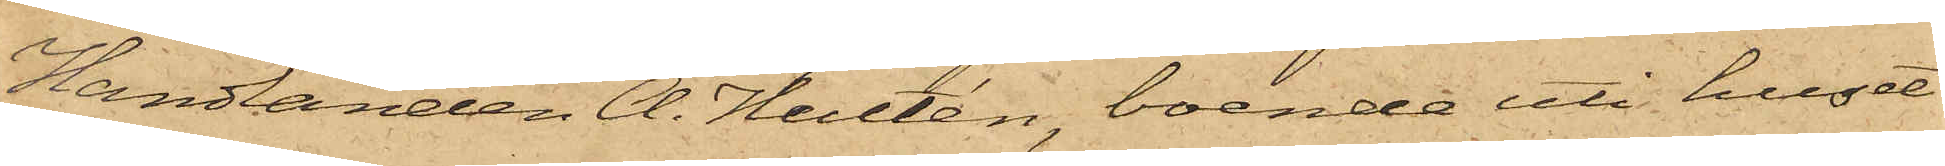Handlanden A. Hultén, boende uti huset
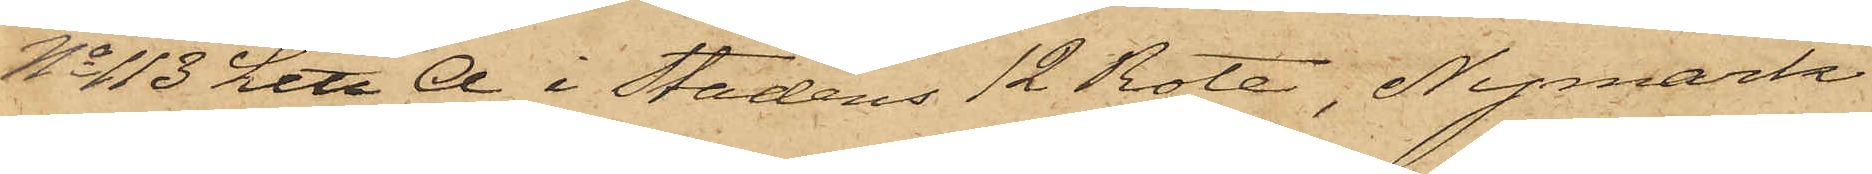No 113 Litt A i Stadens 12 Rote, Nymark
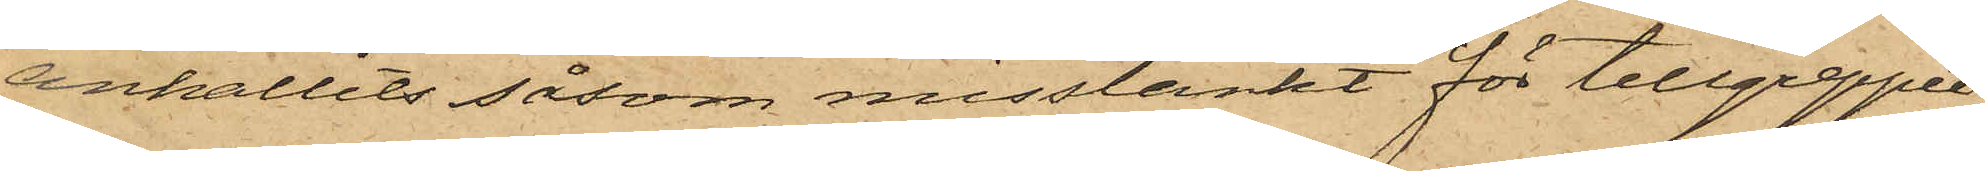anhållits såsom misstänkt för tillgreppet.
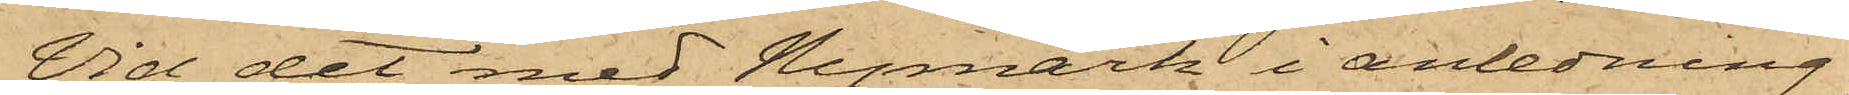Vid det med Nymark i anledning
